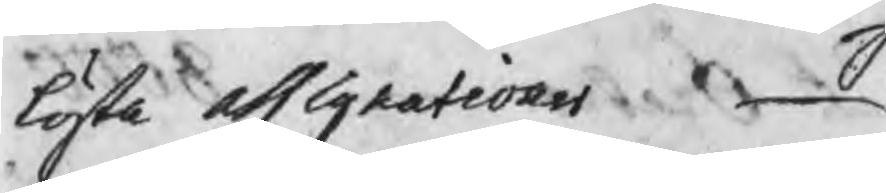lösta obligationer
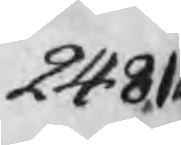2481
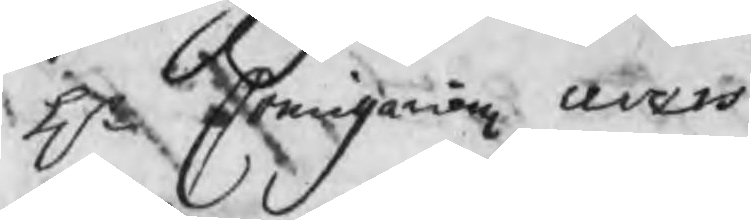Hr Commissariens avans
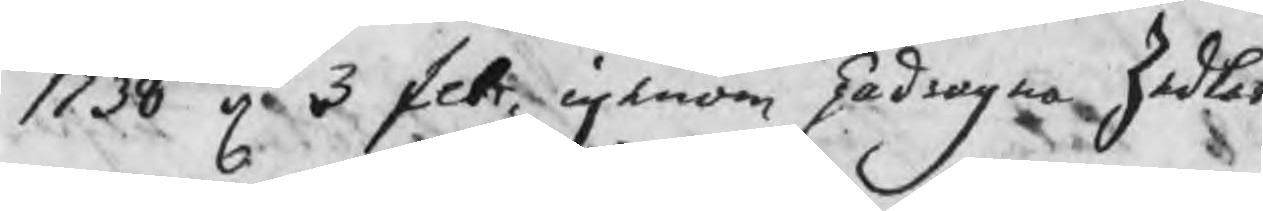1738 d 3 febr. igenom pådragna Zedlar
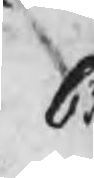63
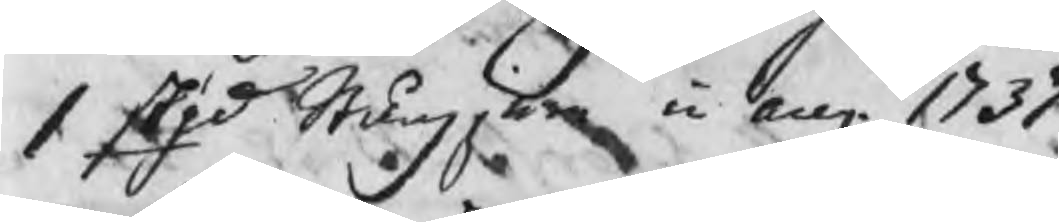1 Skpd Stångjern in aug. 1737
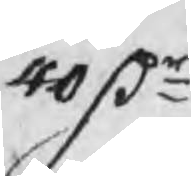40 Dr
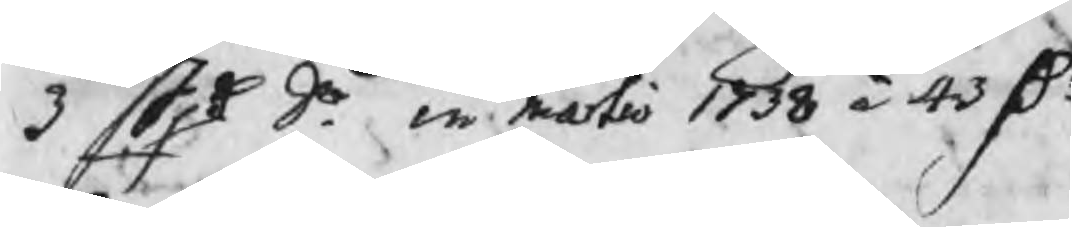3 Skpd do in martio 1738 à 43 Dr
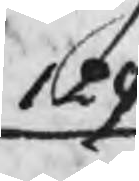129
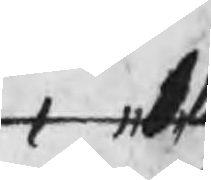,   16
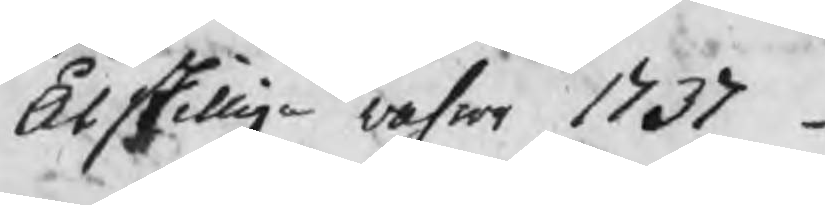Åtskillige vahror 1737
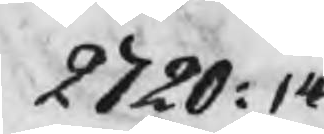2720:14
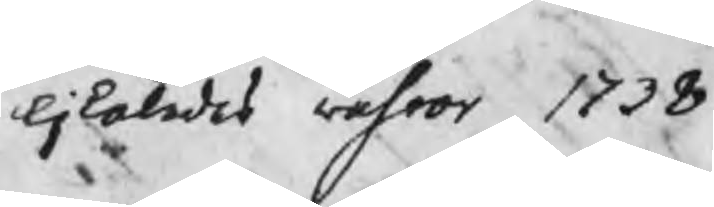likaledes vahror
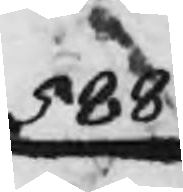588
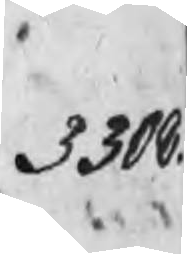3308.
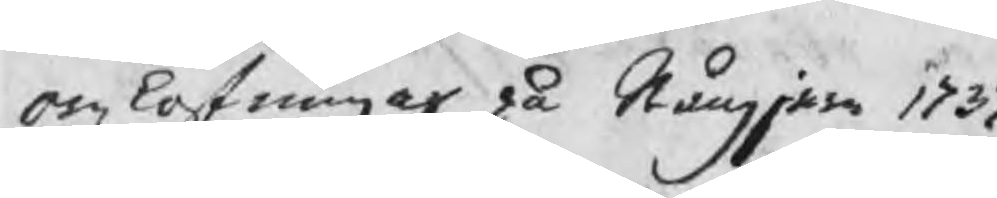omlastningar på Stångjern 1737
